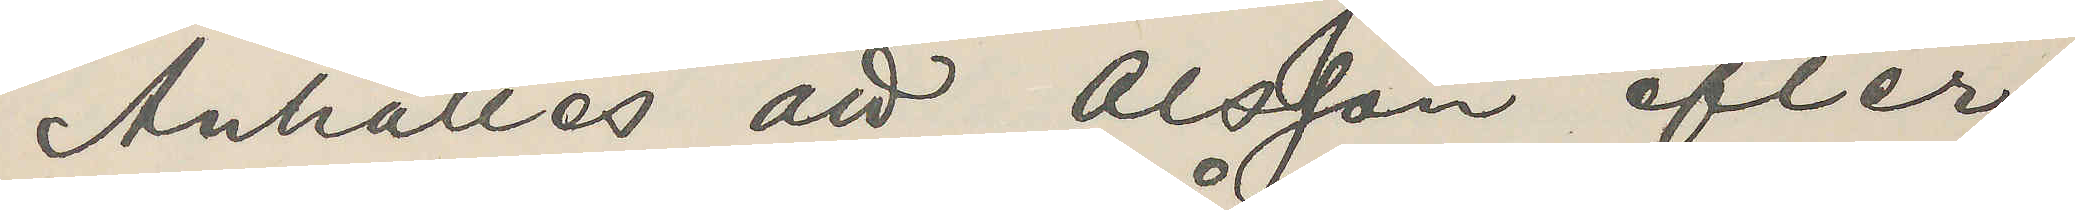Anhålles att Olsson efter¬
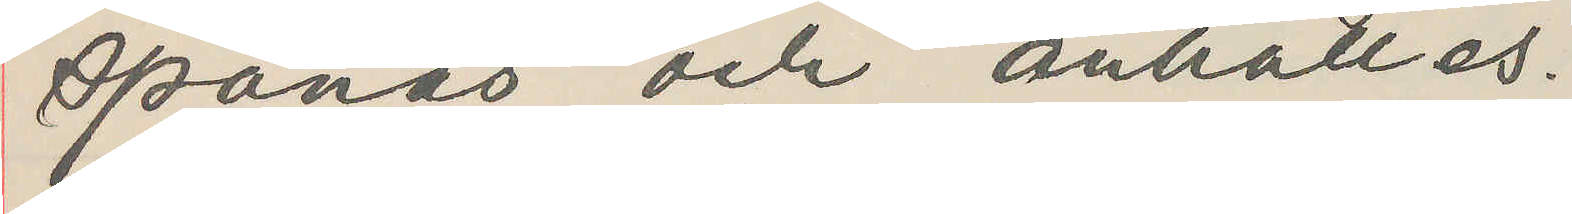spanas och anhålles.
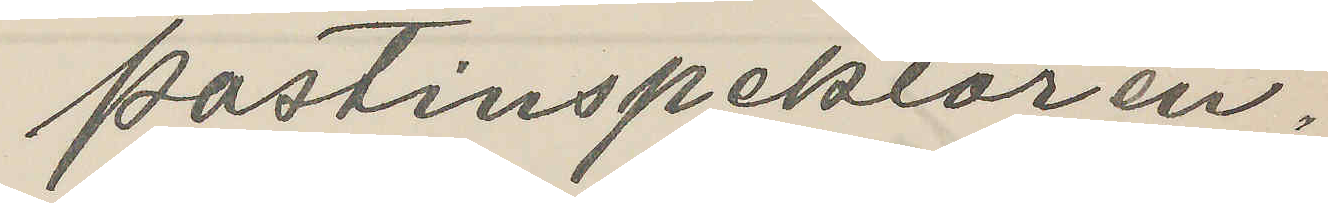Postinspektören.
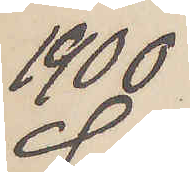1900
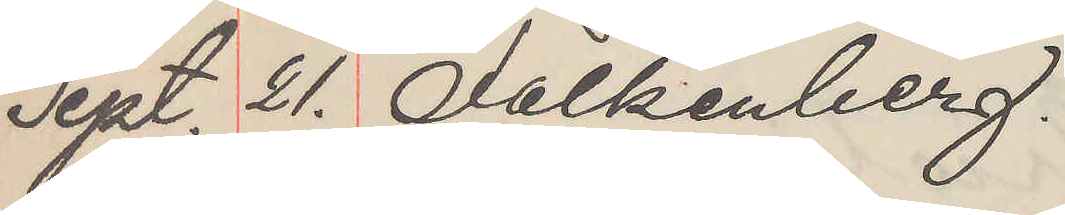Sept. 21. Falkenberg.
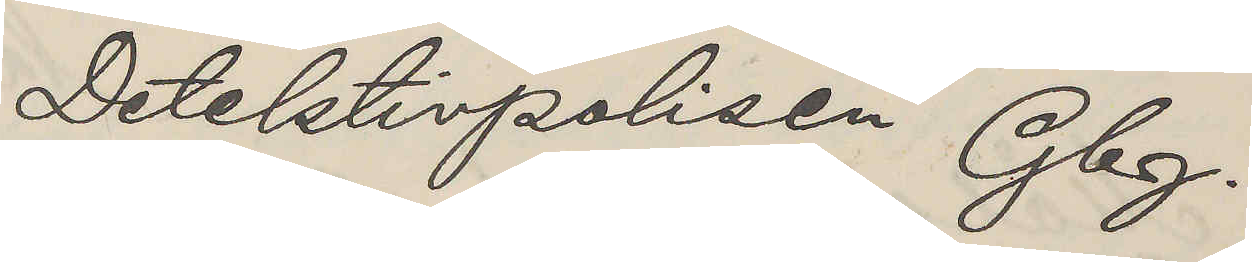Detektivpolisen Gbg.
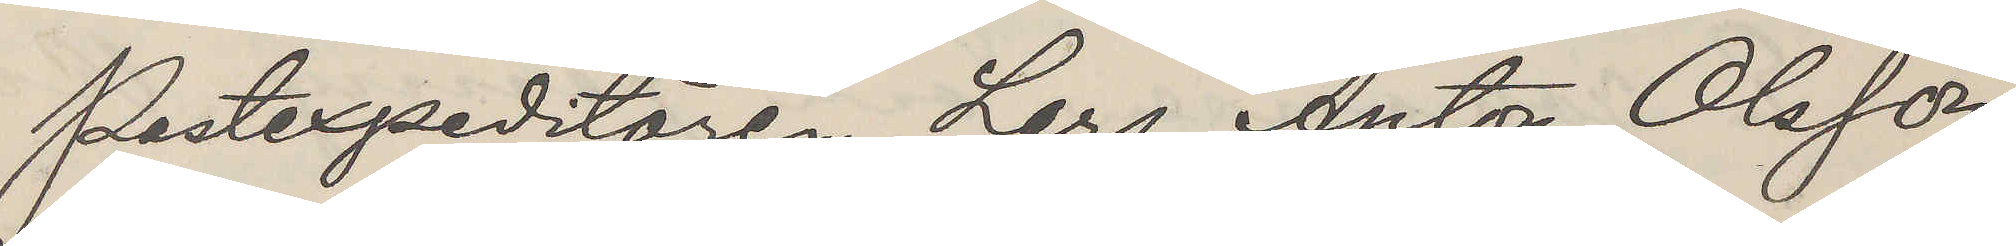Postexpeditören Lars Anton Olsson,
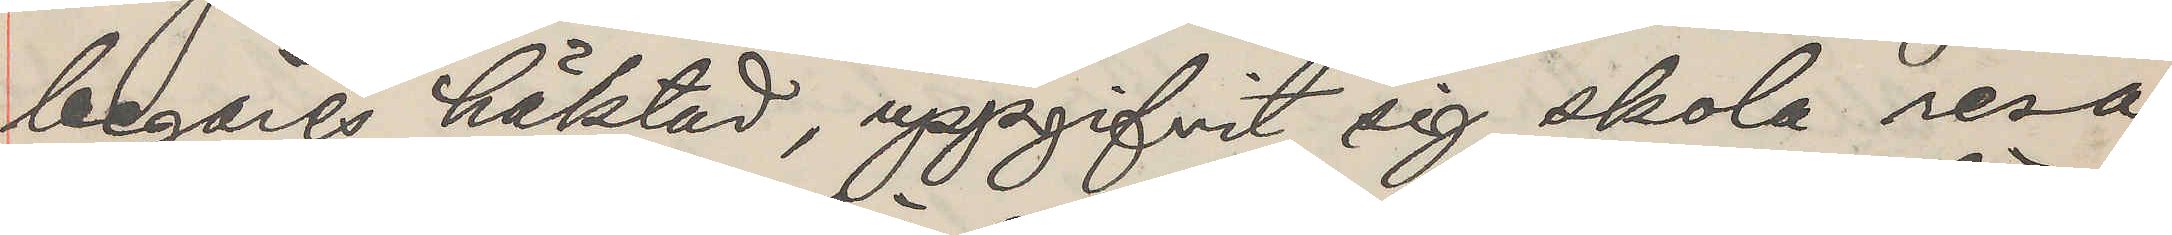begäres häktad, uppgifvit sig skola resa
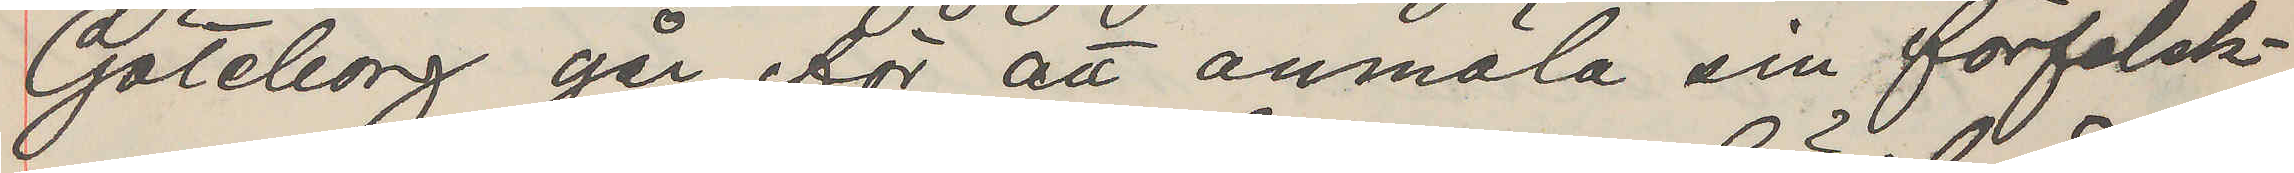Göteborg går för att anmäla sin förfalsk¬
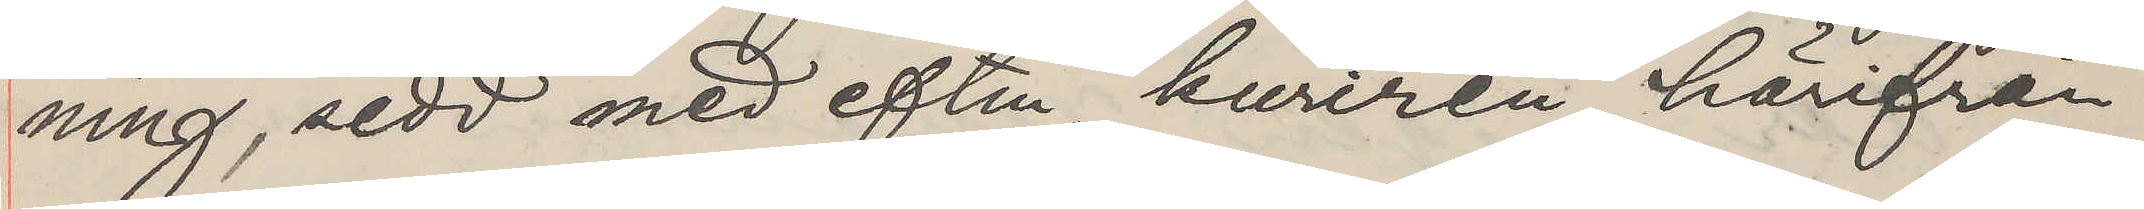ning, sedd med eftm. kuriren härifrån
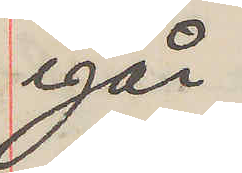igår.
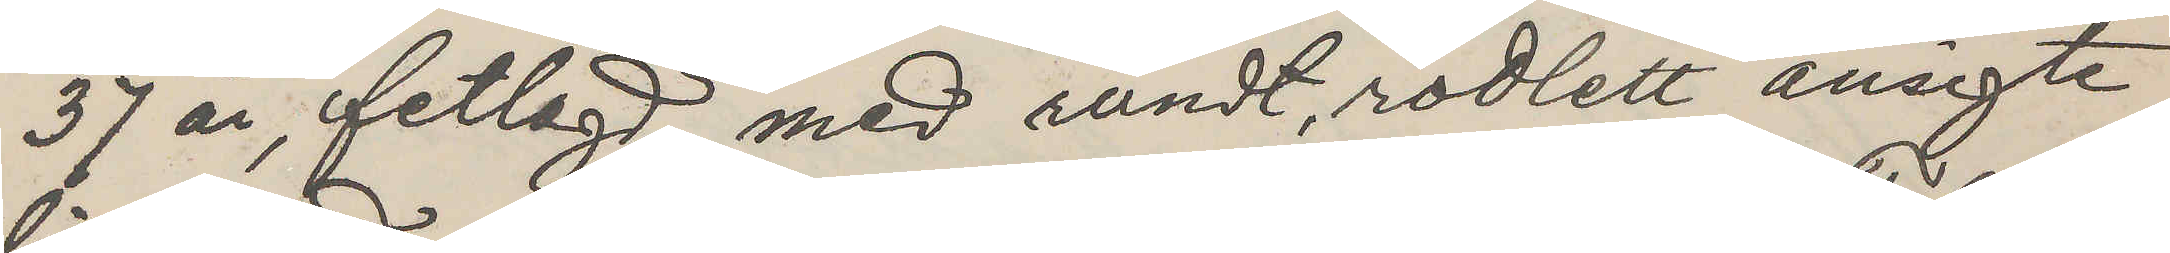37 år, fetlagd, med rundt, rödlett ansigte,
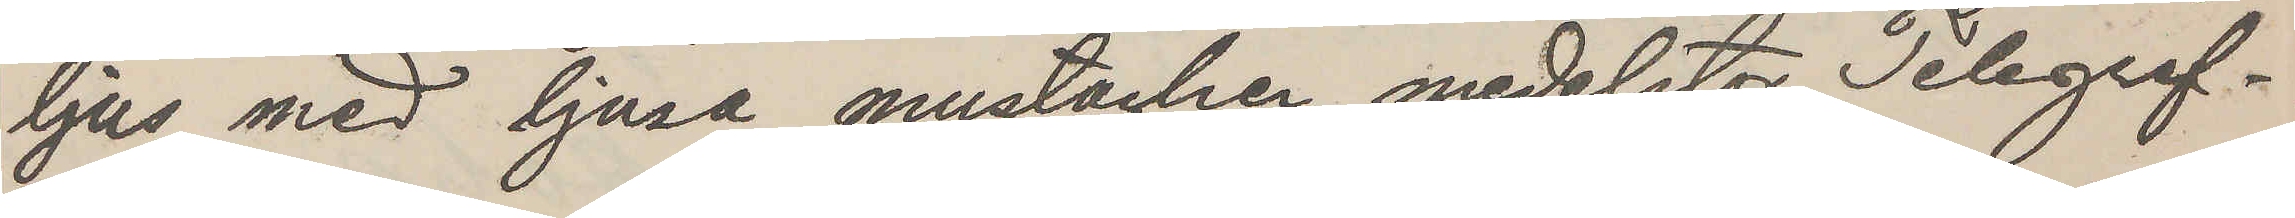ljus med ljusa mustacher, medelstor. Telegraf¬
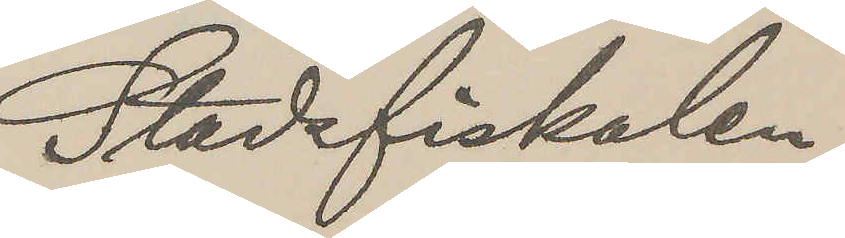Stadsfiskalen
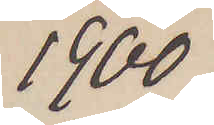1900
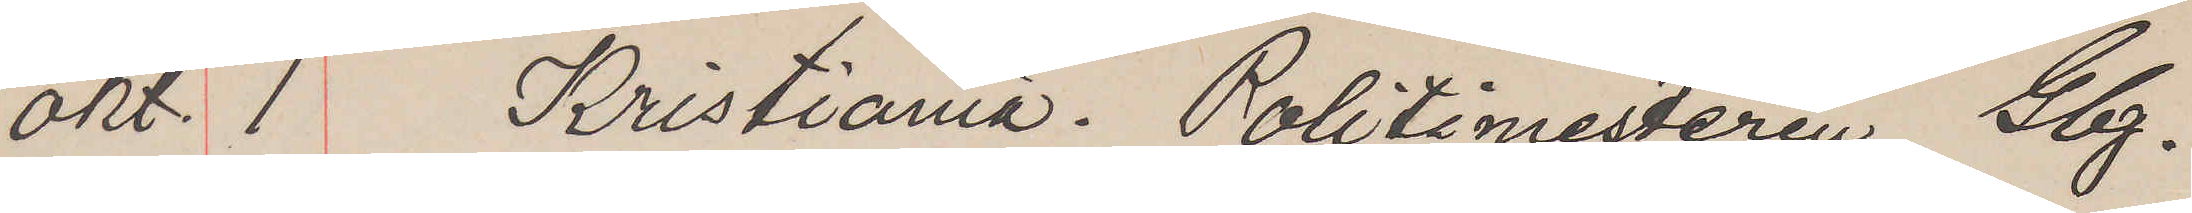Okt. 1 Kristiania. Politimesteren Gbg.
